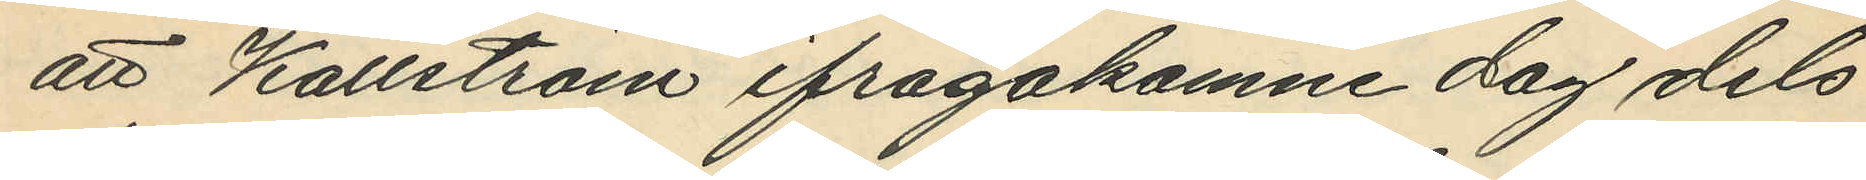att Källström ifrågakomne dag dels
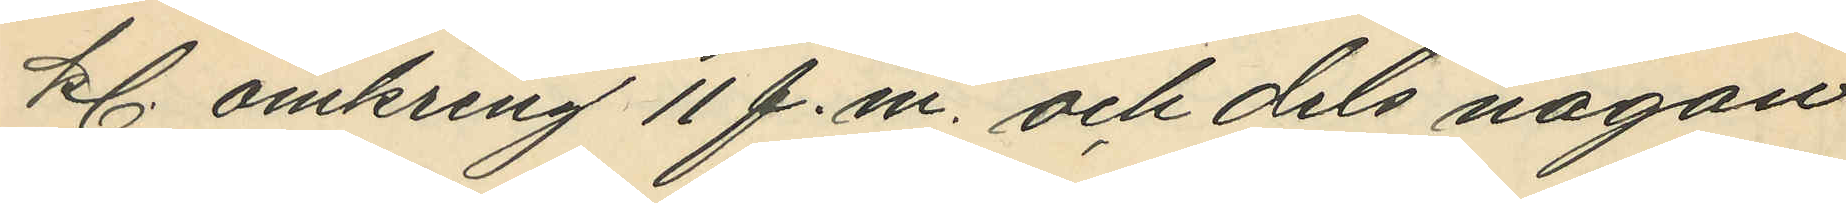kl. omkring 11 f.m. och dels någon
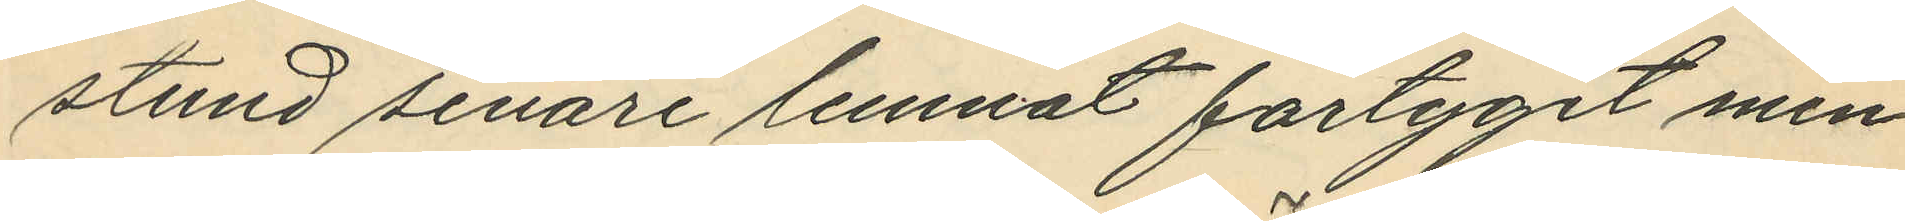stund senare lemnat fartyget men
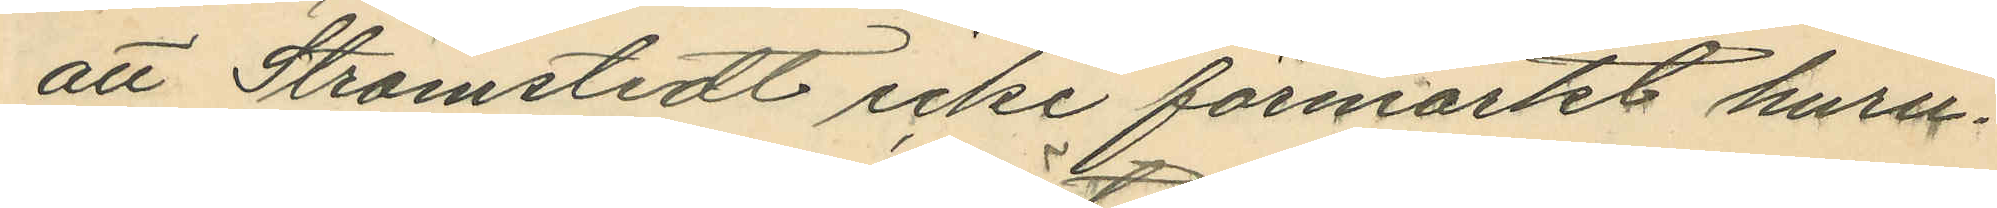att Strömstedt icke förmärkt huru¬
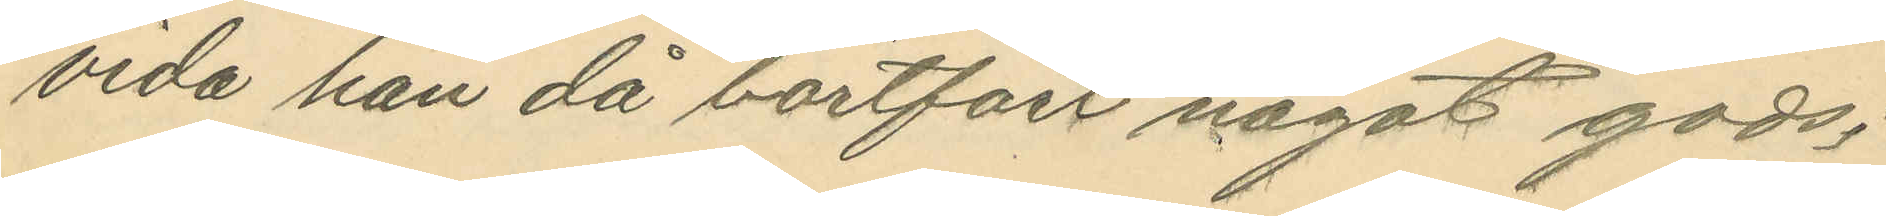vida han då bortfört något gods;
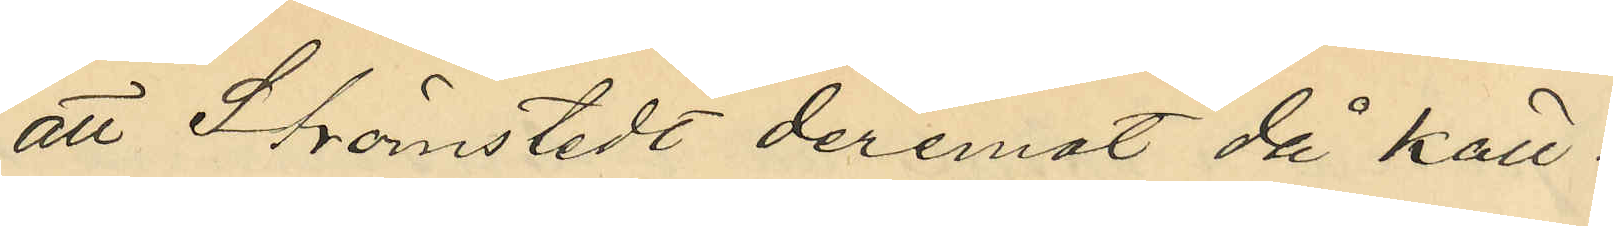att Strömstedt deremot då Käll¬
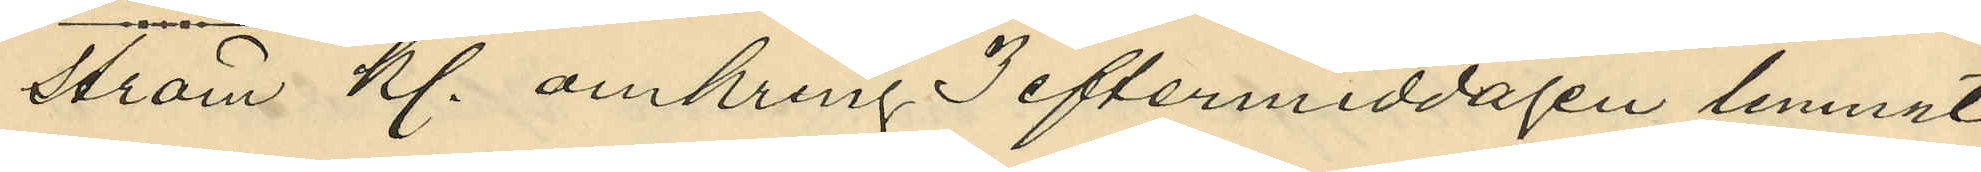ström kl. omkring 3 eftermiddagen lemnat
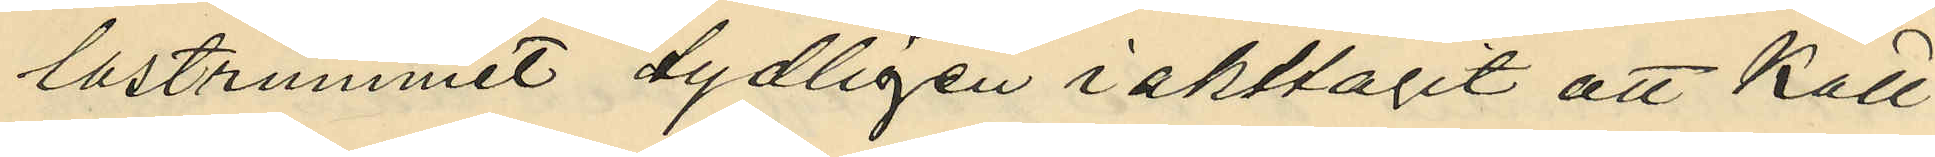lastrummet tydligen iakttagit att Käll¬
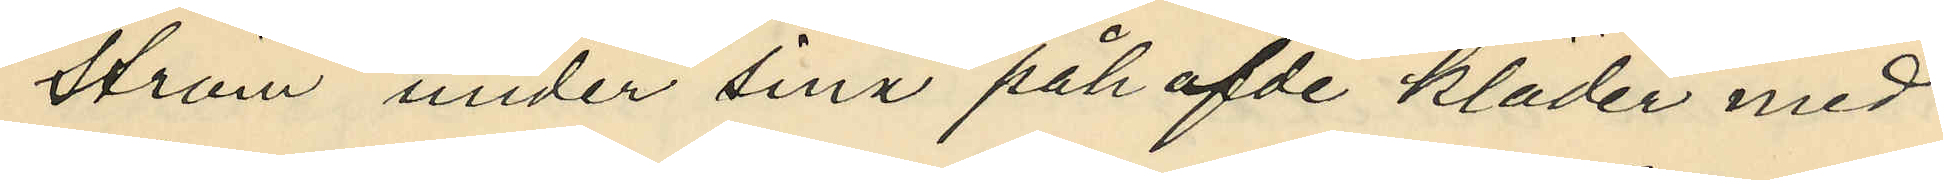ström under sina påhafde kläder med¬
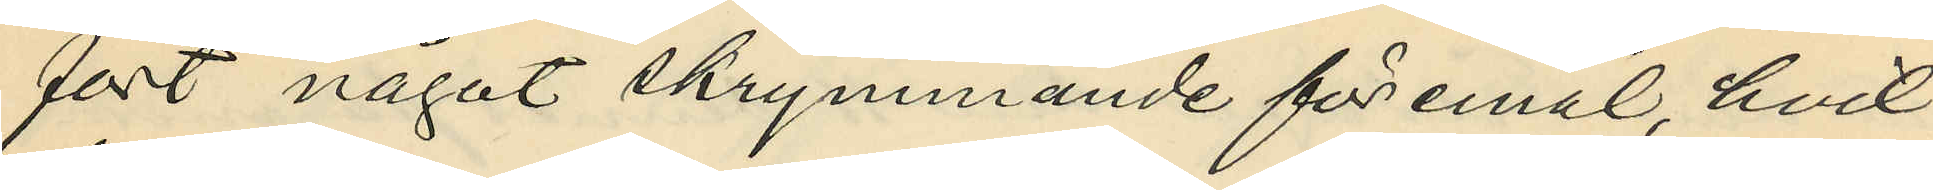fört något skrymmande föremål, hvil¬
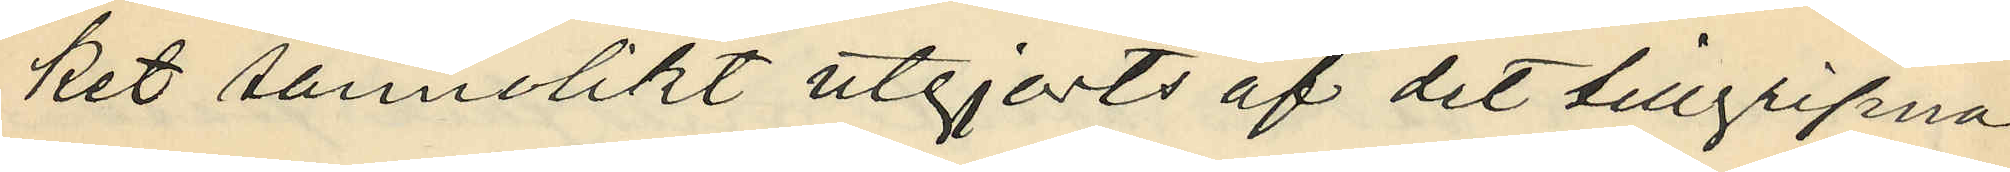ket sannolikt utgjorts af det tillgripna
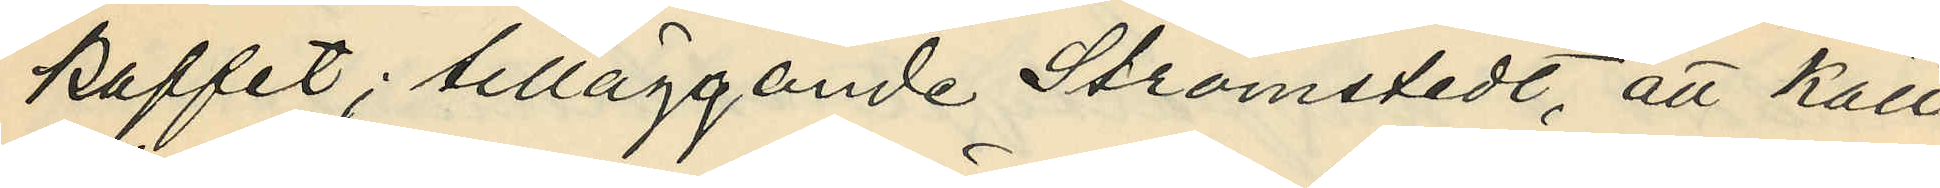kaffet; tilläggande Strömstedt, att Käll¬
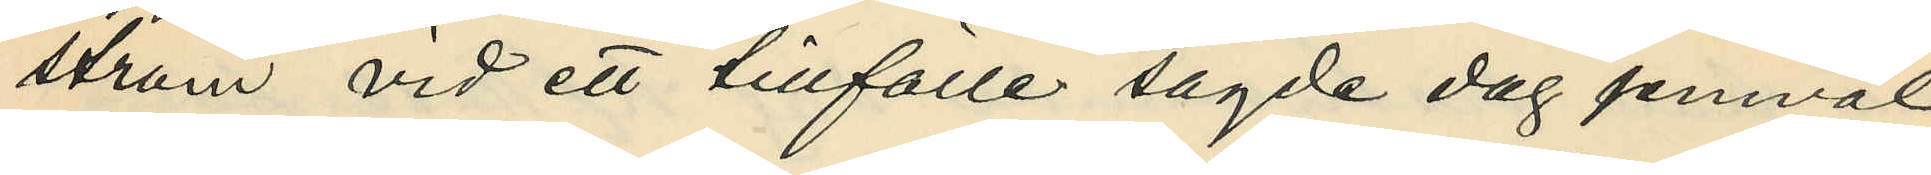ström vid ett tillfälle sagde dag jemväl
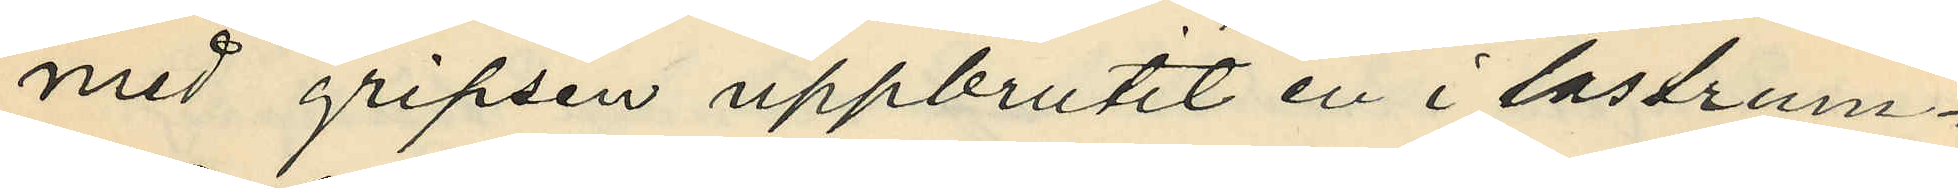med gripsen uppbrutit en i lastrum¬
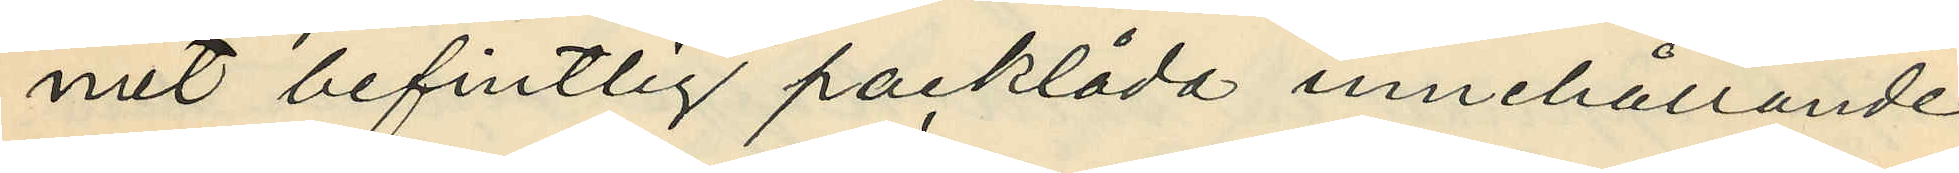met befintlig packlåda innehållande
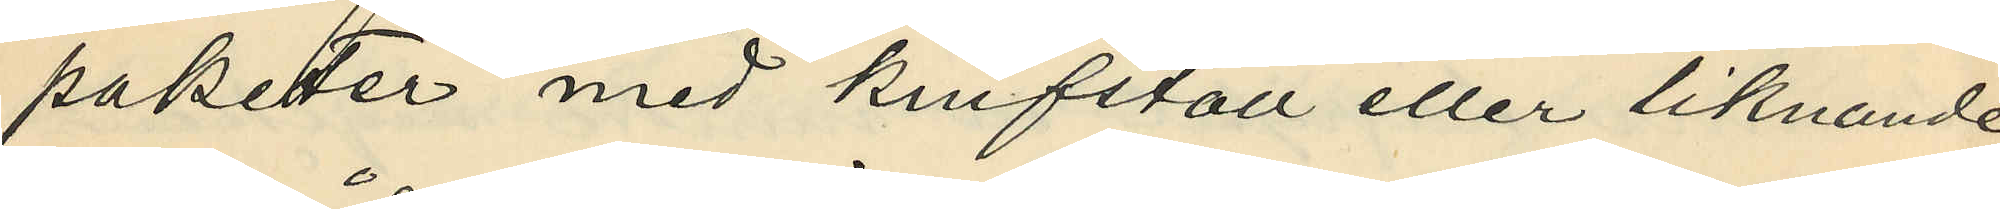paketer med knifställ eller liknande
